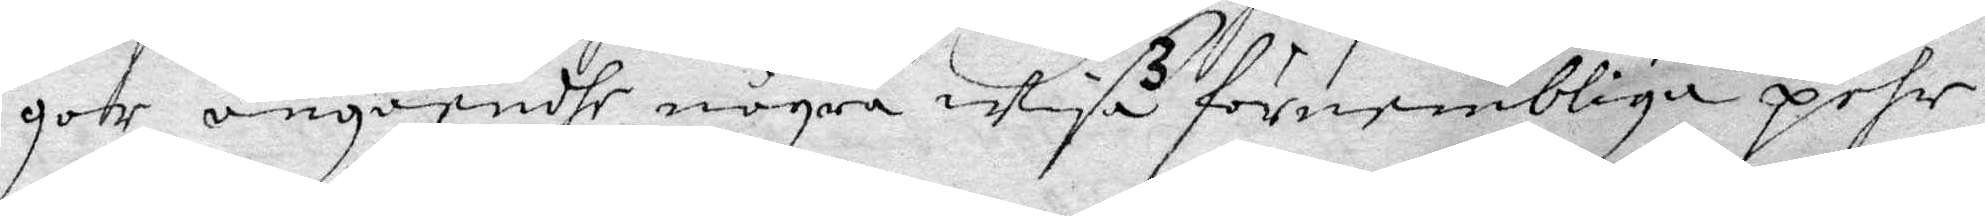gar, angåendhe några wisa förnembliga pehr¬
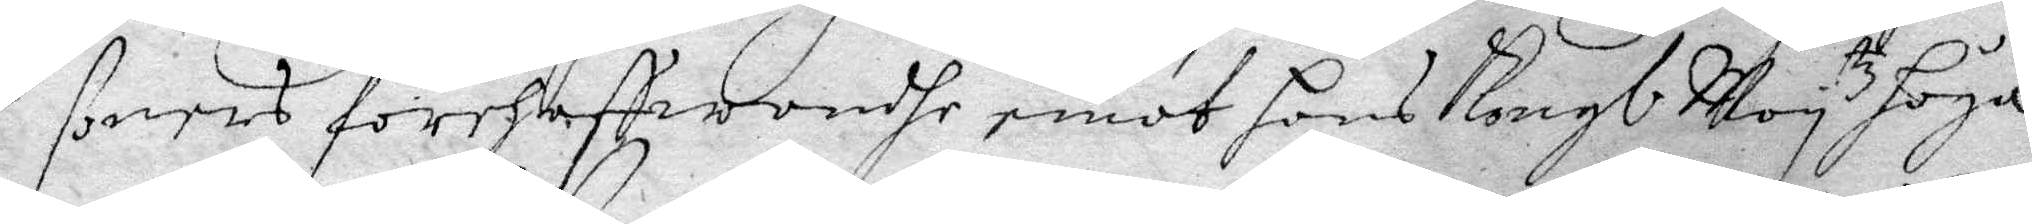soners förehaffwandhe emot hans Kongl May tz höga
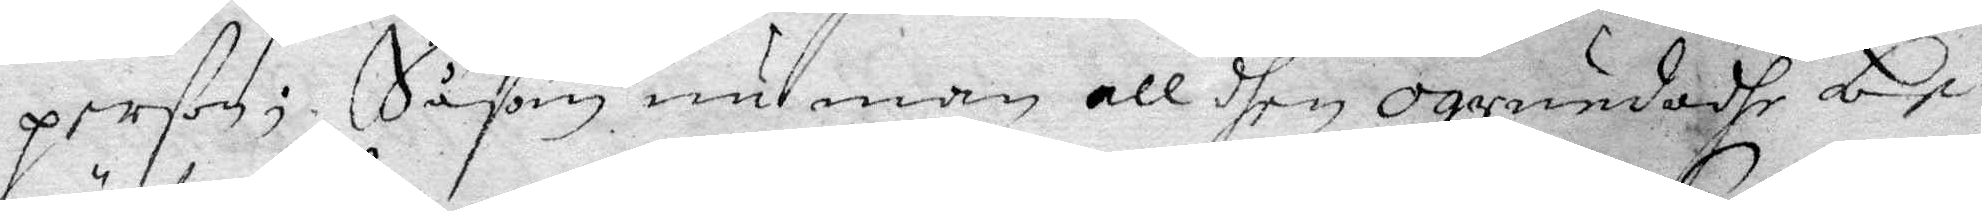person; Såsom nu man all dhen ogrunadhe be¬
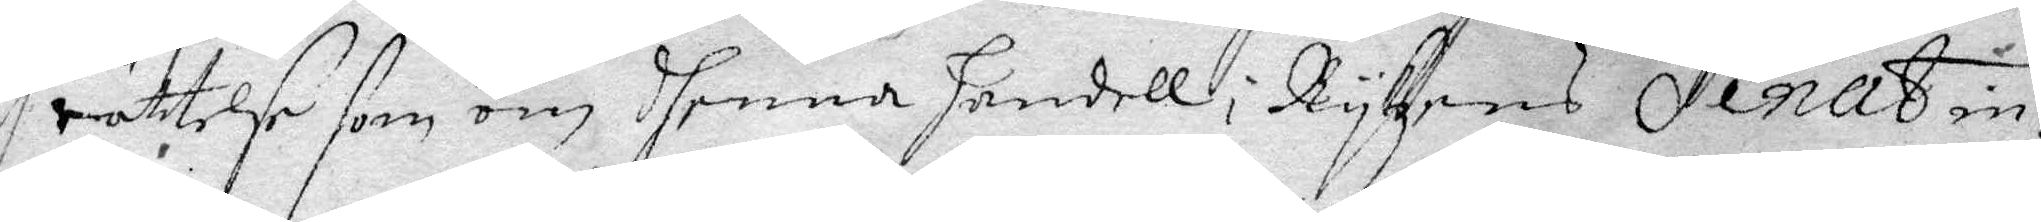rättelse som om dhenna handell i Rykzens Senat in¬
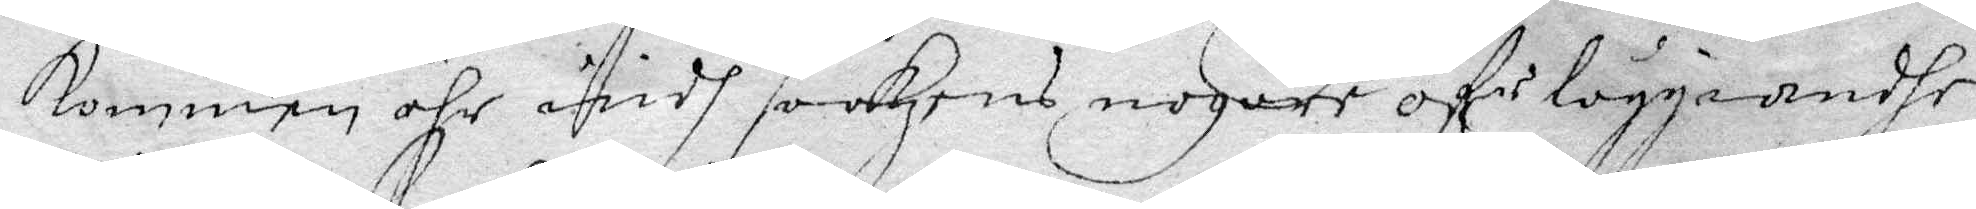kommen ähr widh saakens nogare öferläggiandhe,
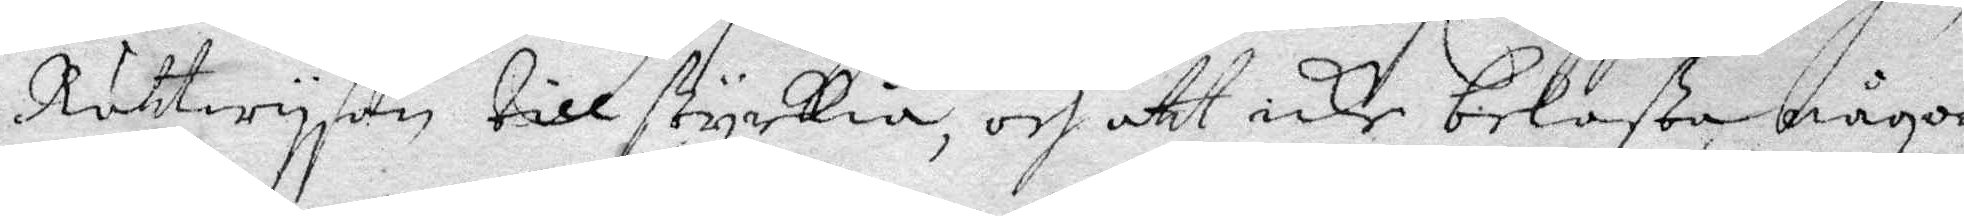Rättwysan till styrkia, och att icke belasta någon
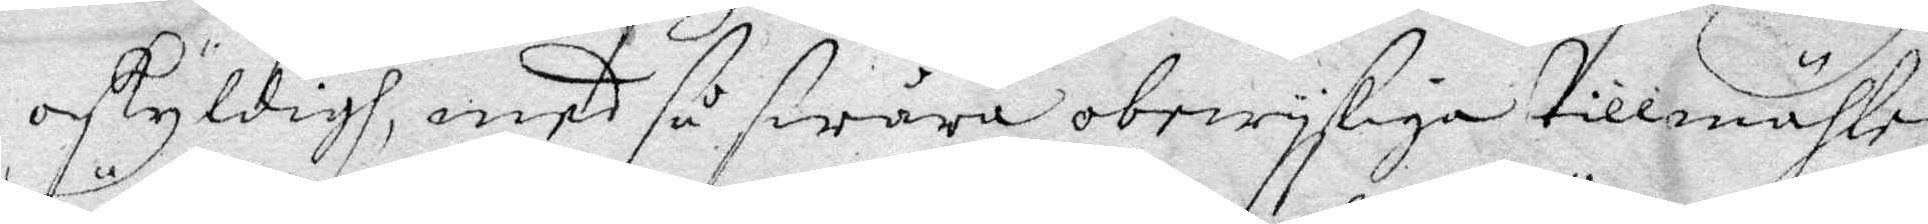oskyldigh, medh så swåra obewysliga tillmählen,
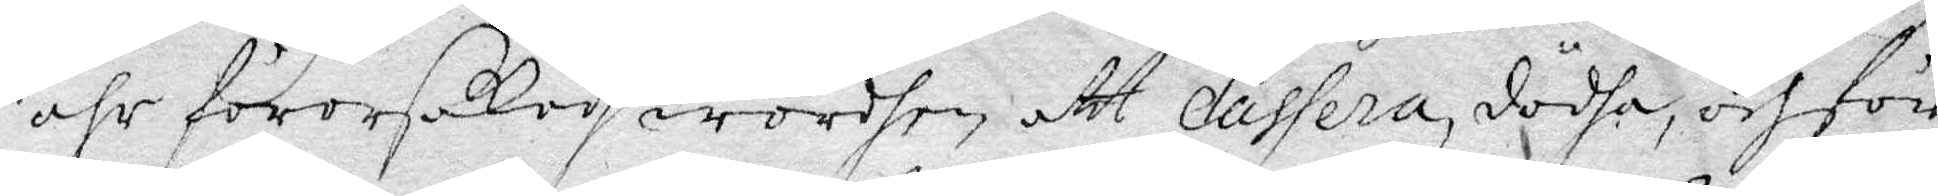ähr förorsakadh worden att cassera, dödha, och för
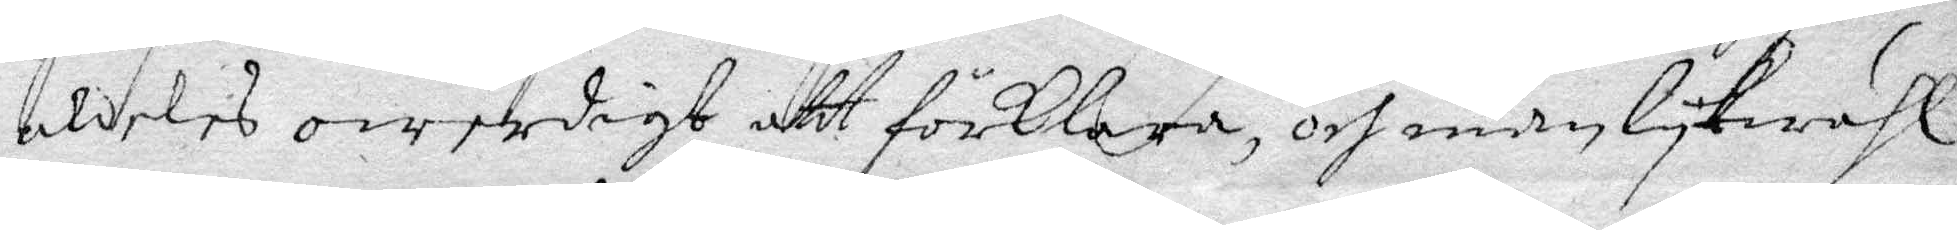aldeles owerdigt att förklara, och man lykwähl
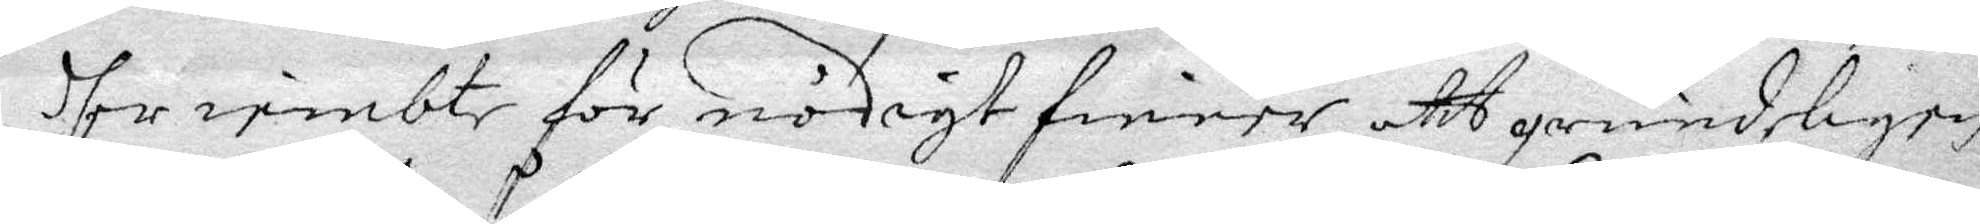dher iembte för nödigt finner att grundligen
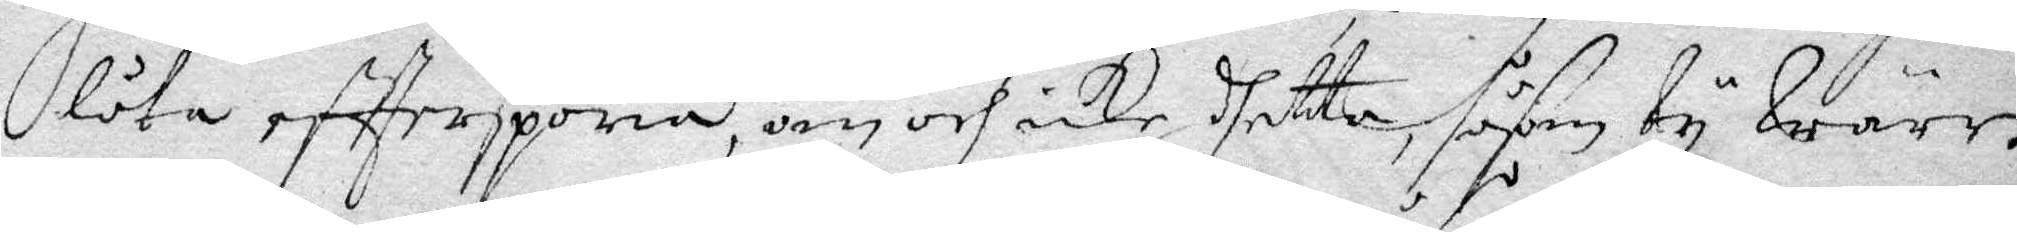låta effterspöria, om och icke dhetta såsom ty Wärr!
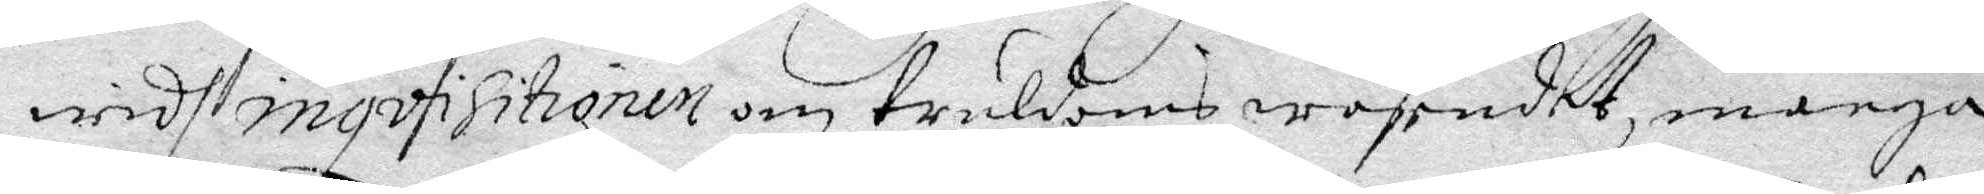wid inqvisitionen om truldoms wäsendet, många
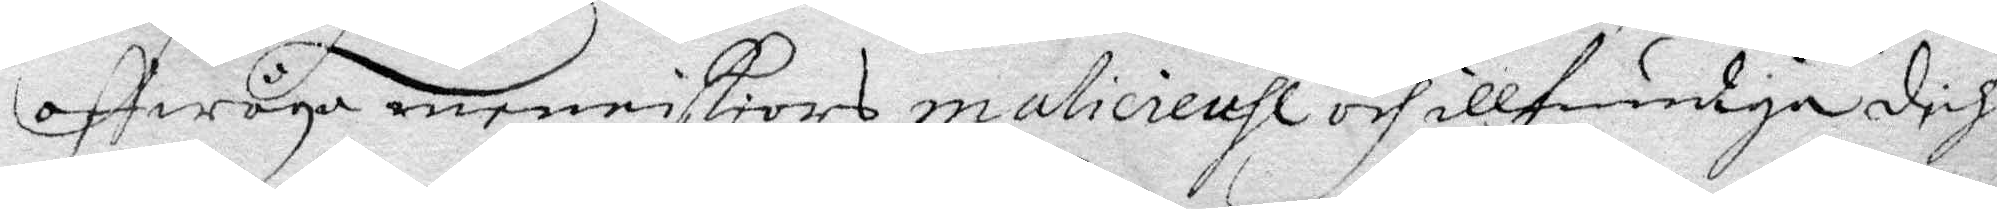affwåga menniskiors maliciensl och illfundiga dih:
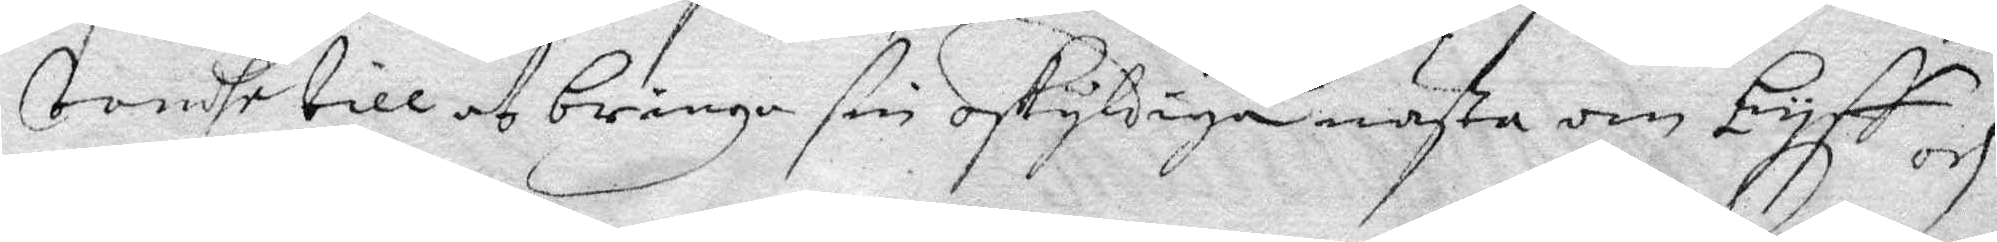oondske till at bringa sin oskyldiga nästa om Lyff och
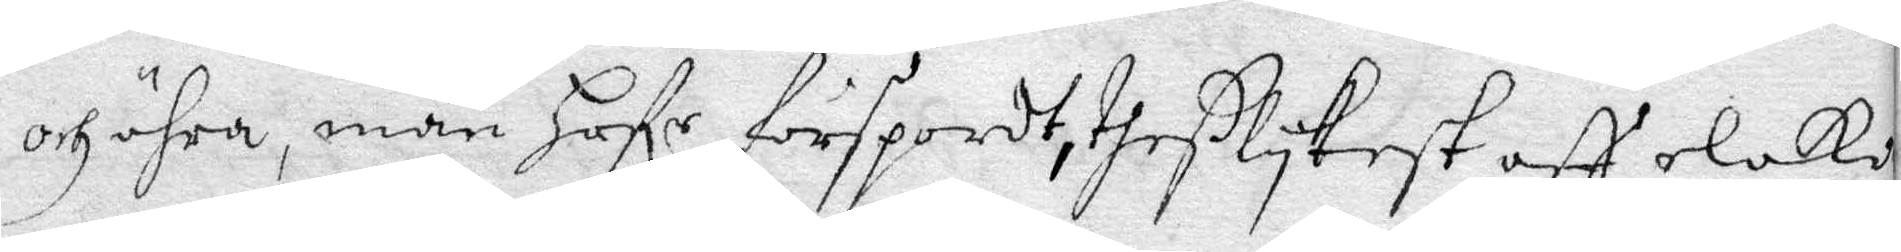och ähra, man hafr förspordt, theßlykest aff elaka
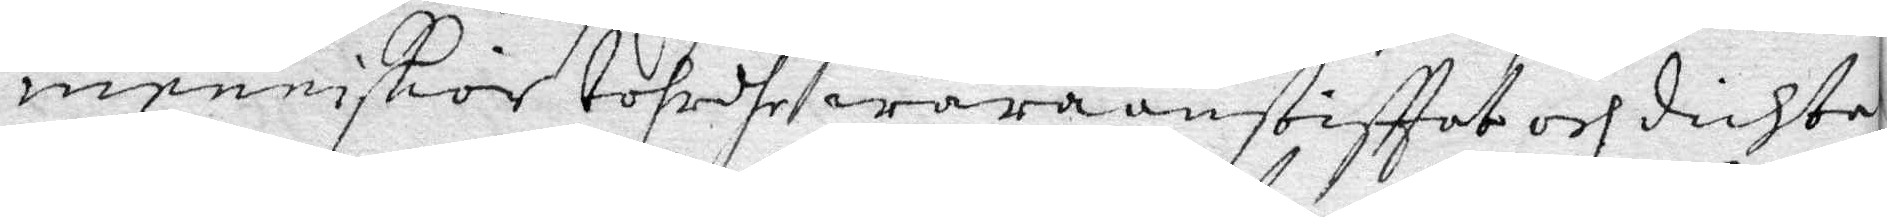menniskior tohrdhe wara anstifftat och dichta
